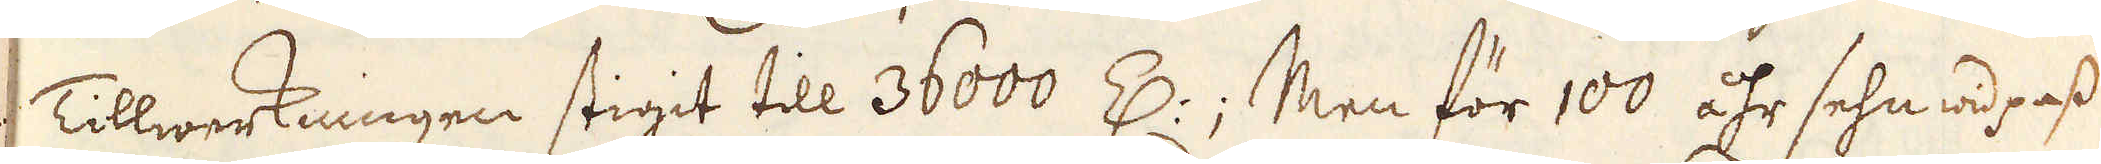Tillwerkningen stigit till 36000 Z:; Men för 100 åhr sehn wid pass
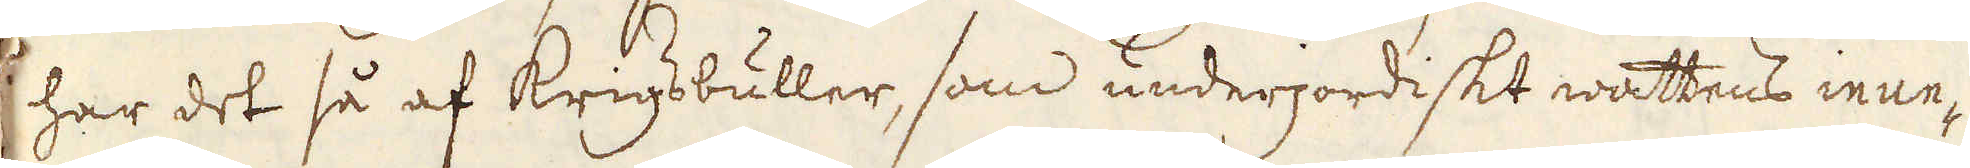har det så af Krigsbuller, som underjordiskt wattens inun-
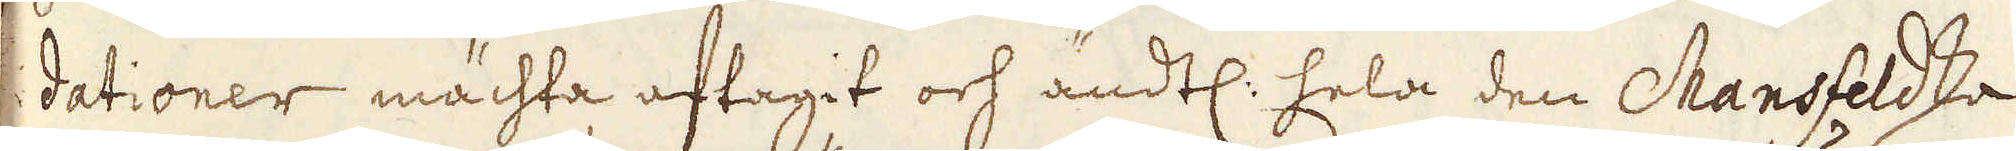dationer mächta aftagit och ändtl: hela den Mansfeldska
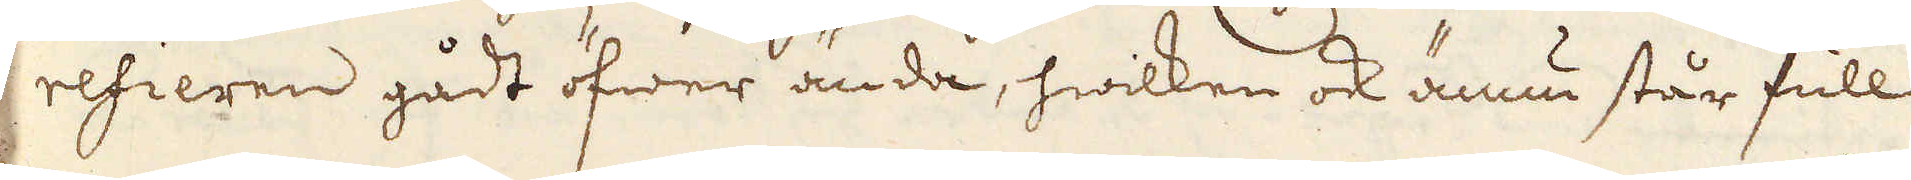refieren gådt öfwer ända, hwilken ock ännu står full
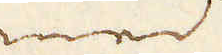med
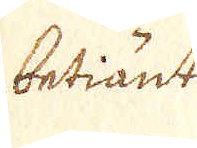betiänte
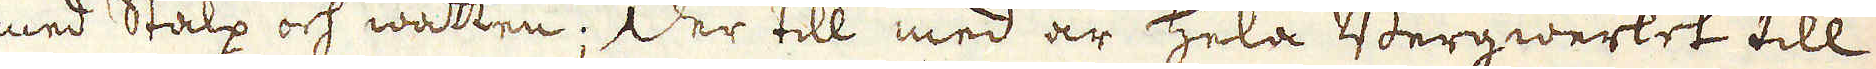med Stalp och wattn; Der till med är hela Bergwerket till
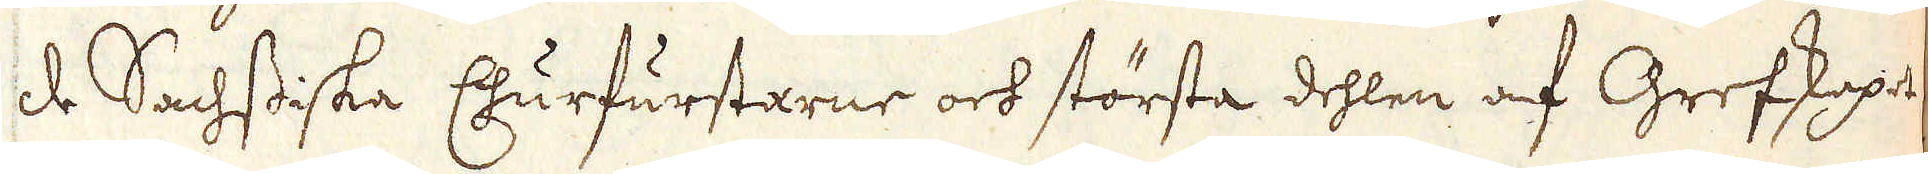de Sachsiska Churfurstarne och största dehlen af Grefskapet
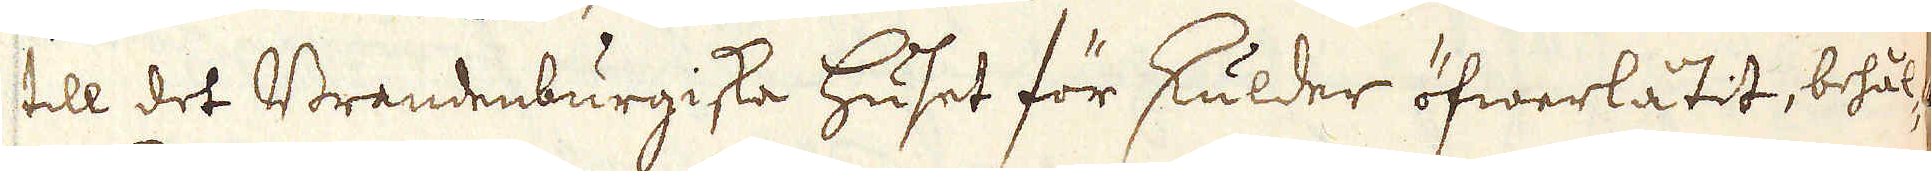till det Brandenburgiske huset för skulder öfwerlåtit, behål-
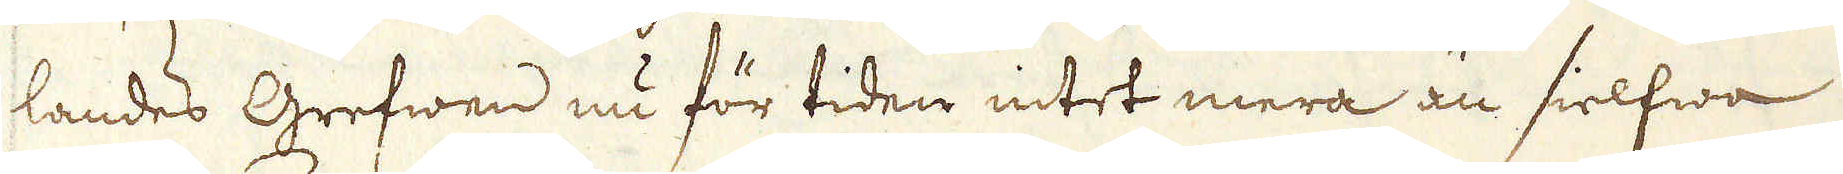landes Grefwen nu för tiden intet mera än sielfwa
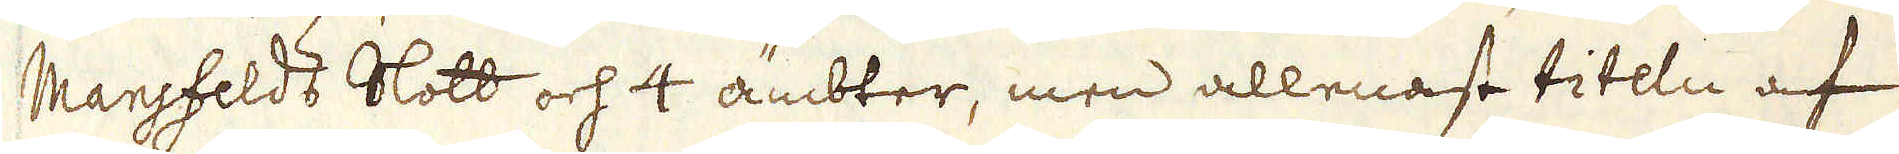Mansfelds Slott och 4 ämbter, men allenast titeln af
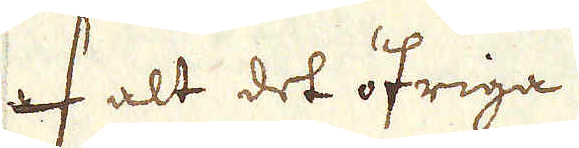af alt det öfriga.
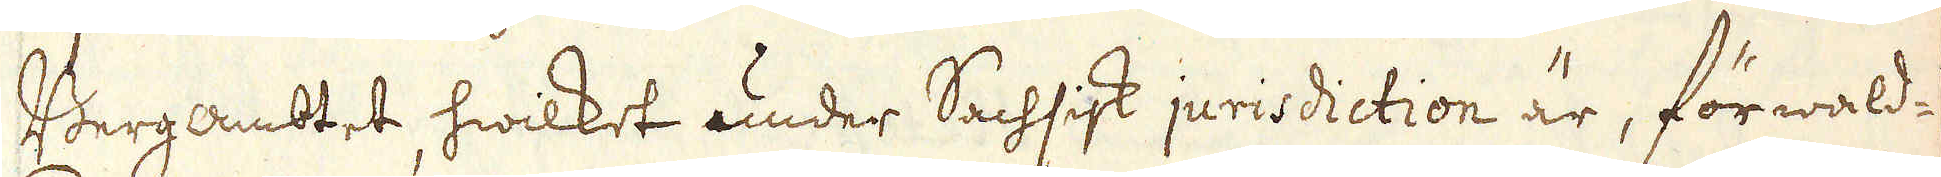Bergambtet hwilket under Sachsisk jurisdiction är, förwald-
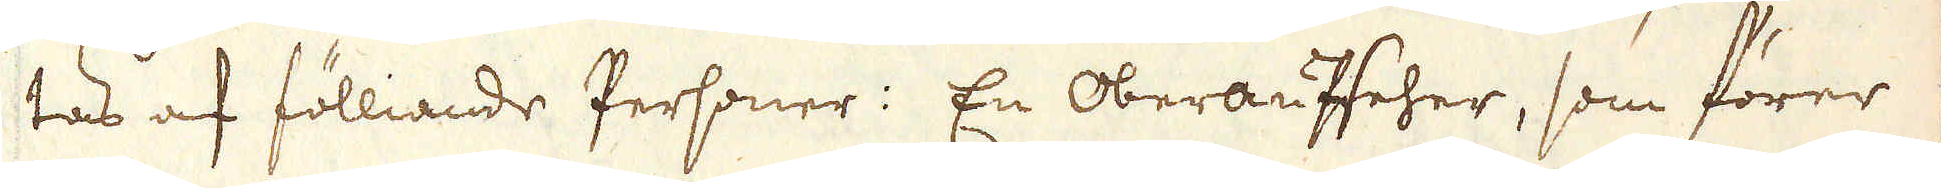tas af fölliande Personer: En Oberaufseher, som förer
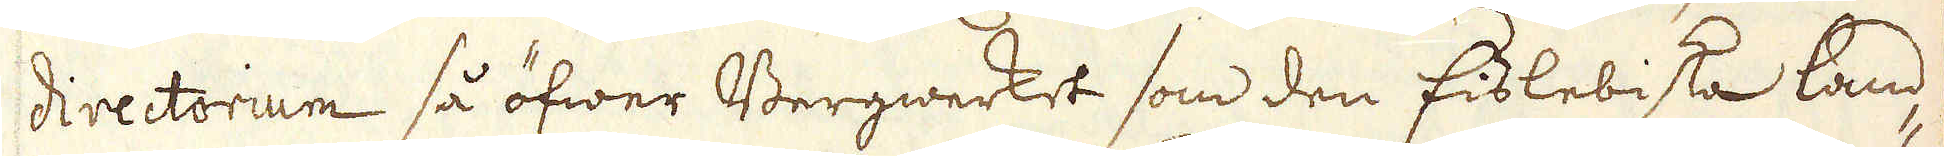directorium så öfwer Bergwerket som den Eislebiska land-
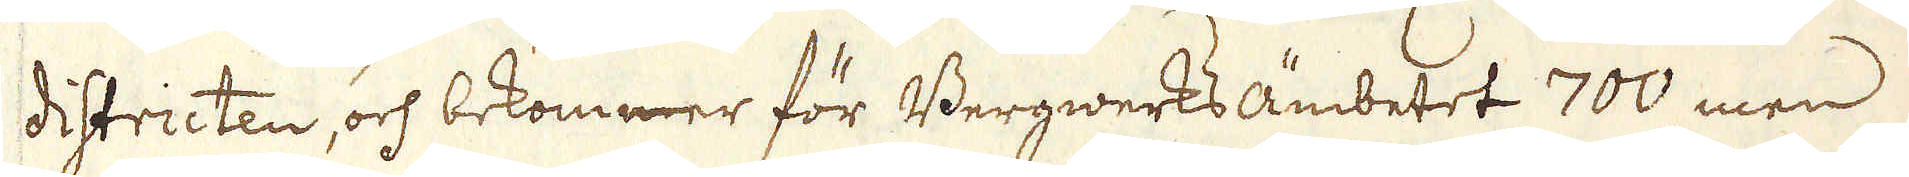districten, och bekommer för Bergwerks ämbetet 700, men
